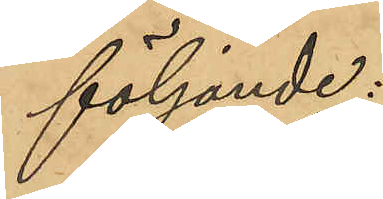följande:
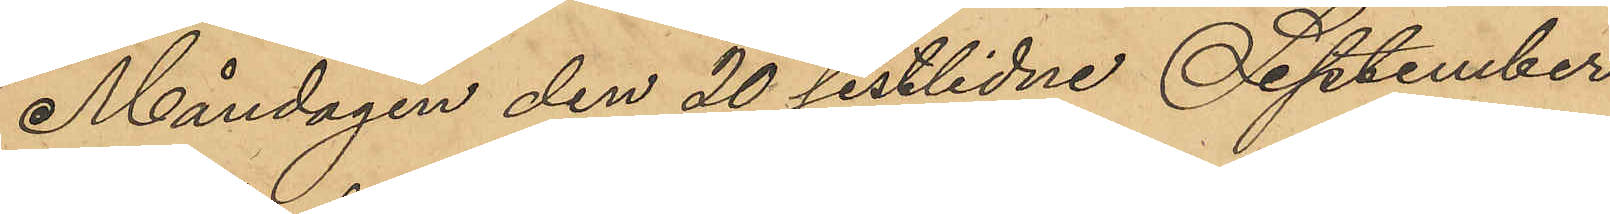Måndagen den 20 sistlidne September
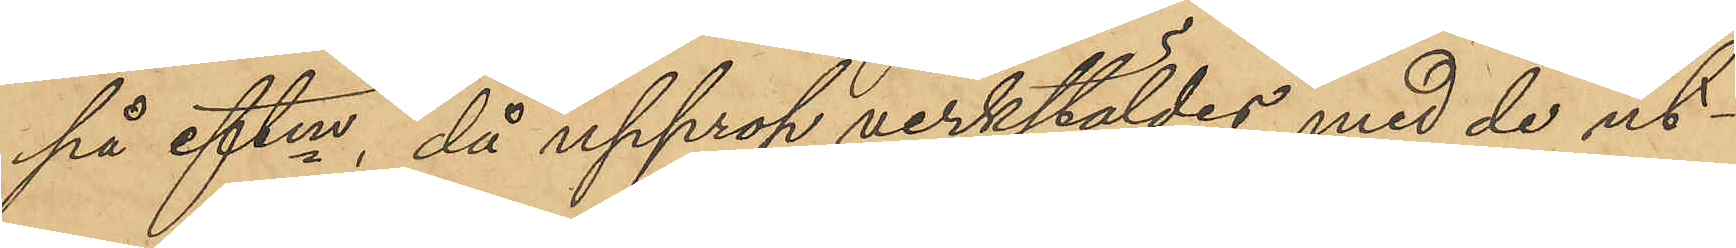på eftm, då upprop verkstäldes med de ut¬
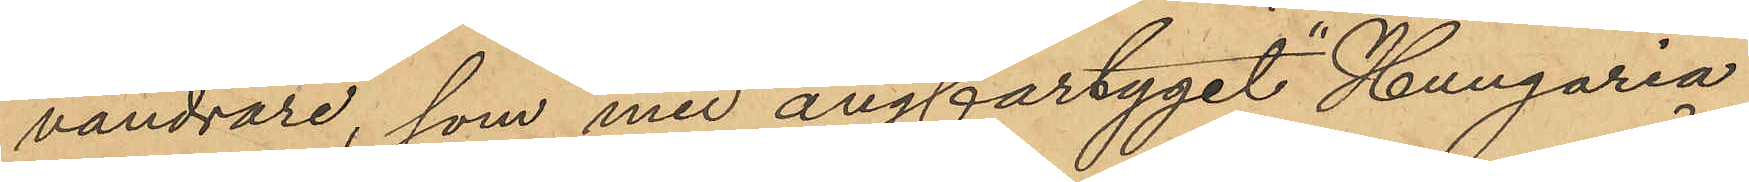vandrare, som med ångfartyget "Hungaria"
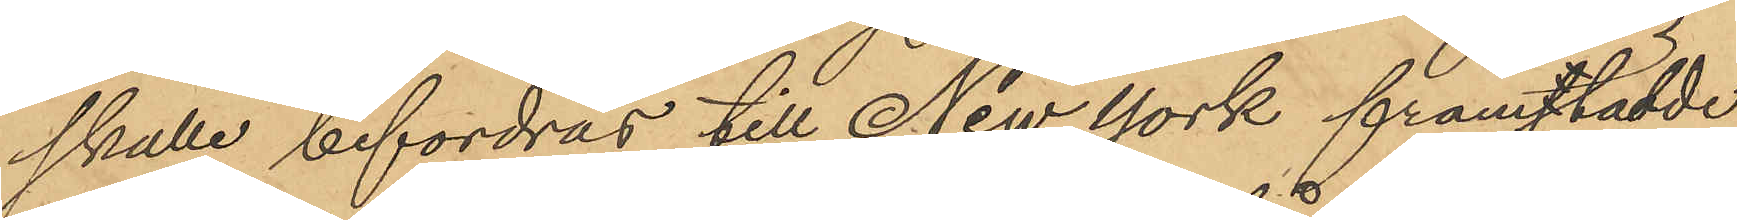skulle befordras till New York framtädde
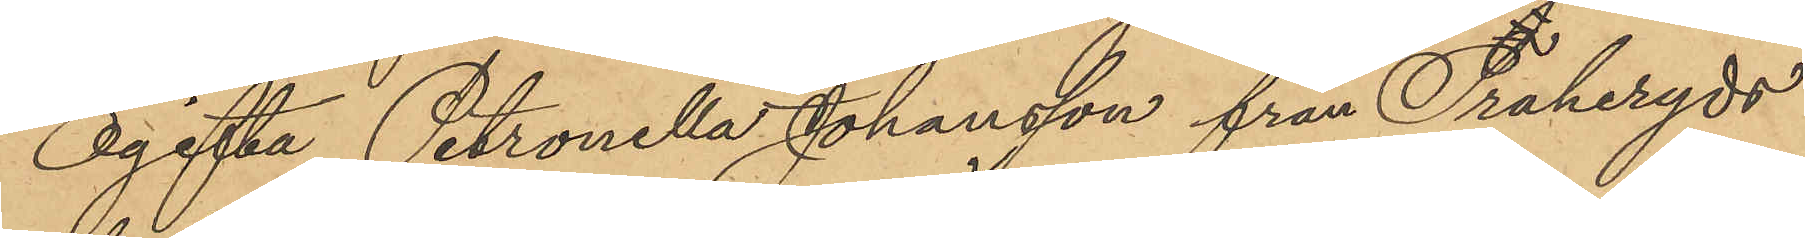Ogifta Petronella Johansson från Traheryds
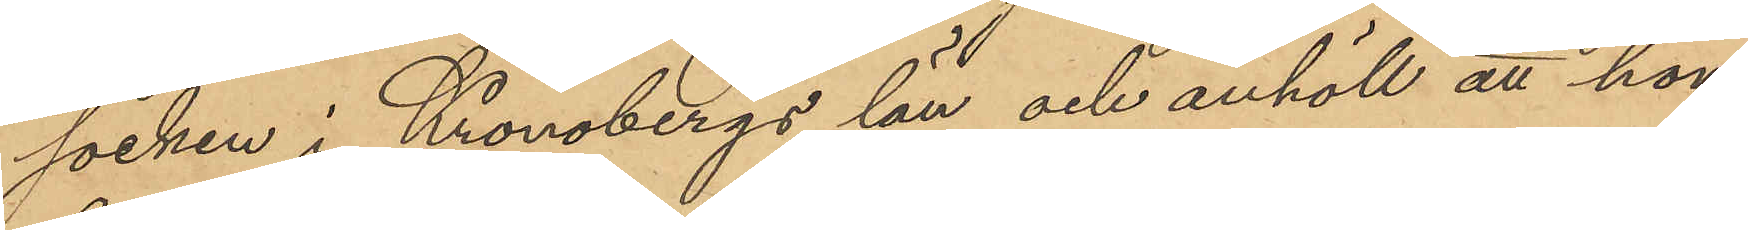socken i Kronobergs län och anhöll att hon,
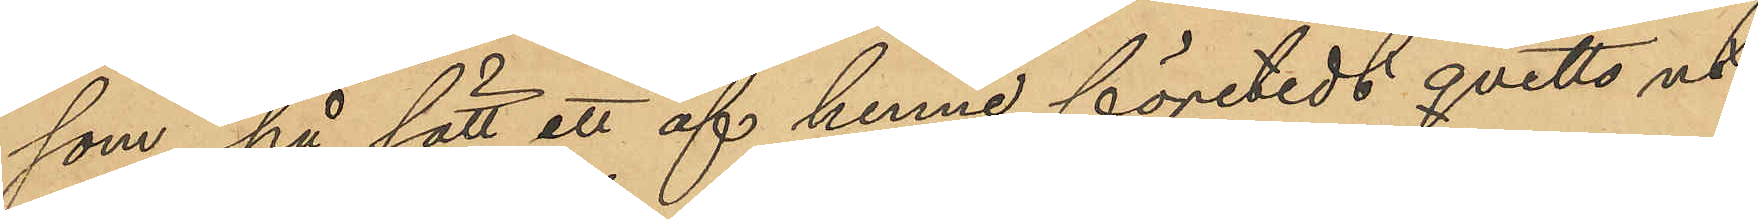som, på sätt ett af henne företedt qvitto ut¬
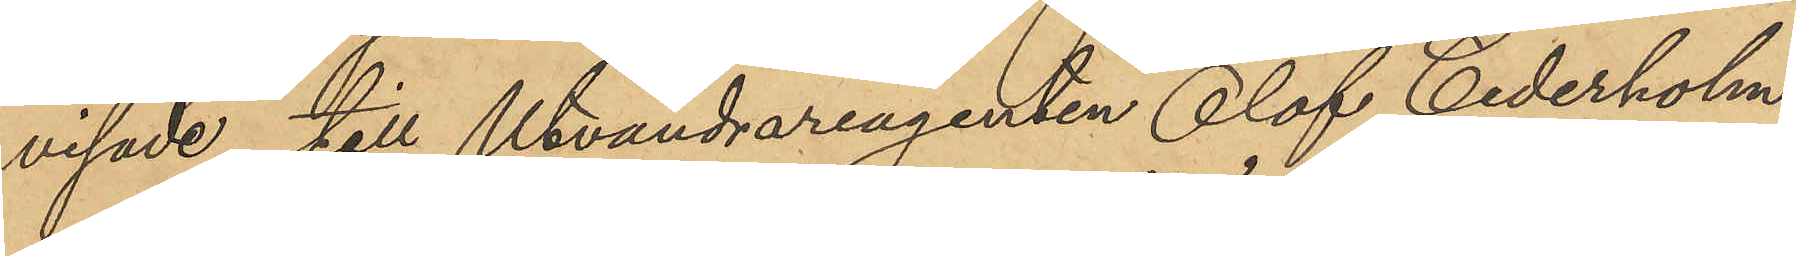visade till Utvandrareagenten Olof Cederholm
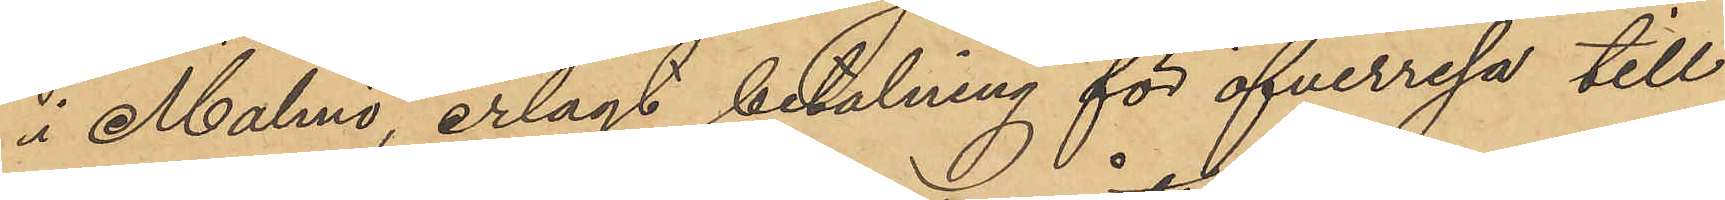i Malmö, erlagt betalning för öfverresa till
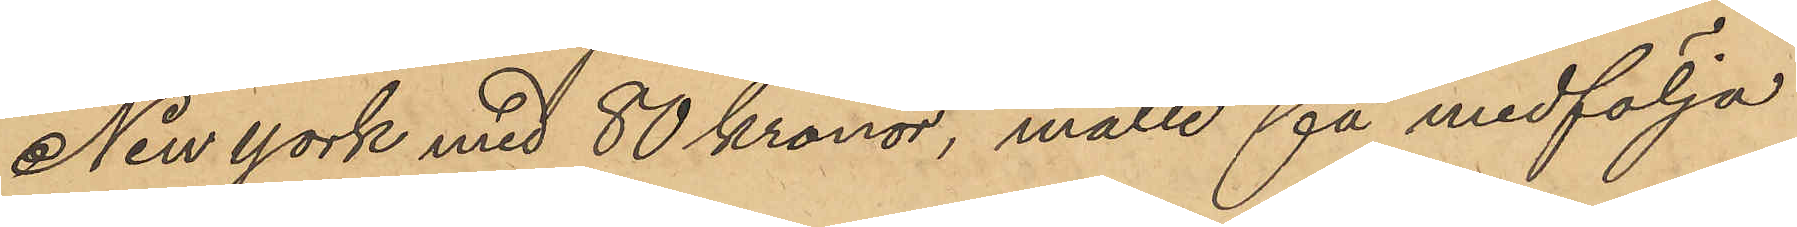New York med 80 Kronor, måtte få medfölja
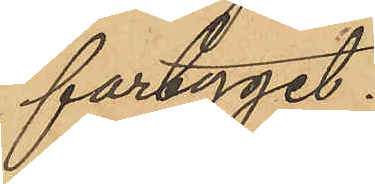fartyget.
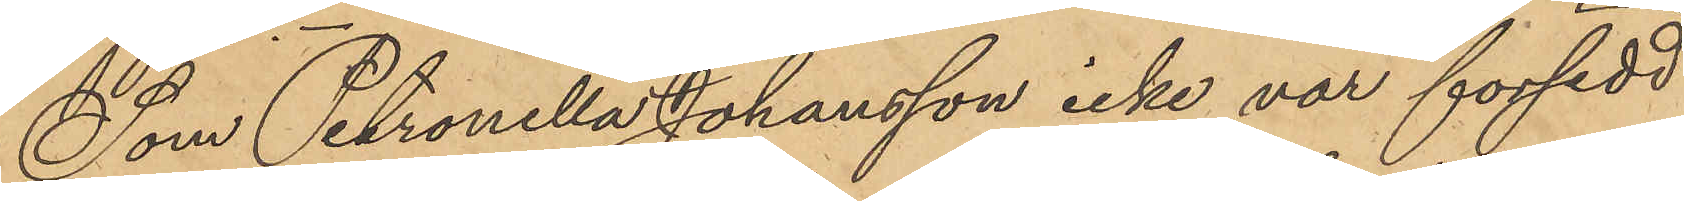Som Petronella Johansson icke var försedd
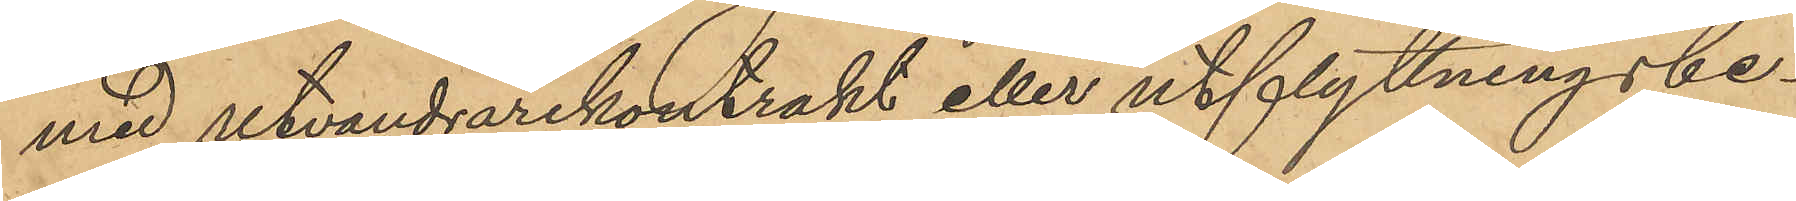med utvandrarekontrakt eller utflyttningsbe¬
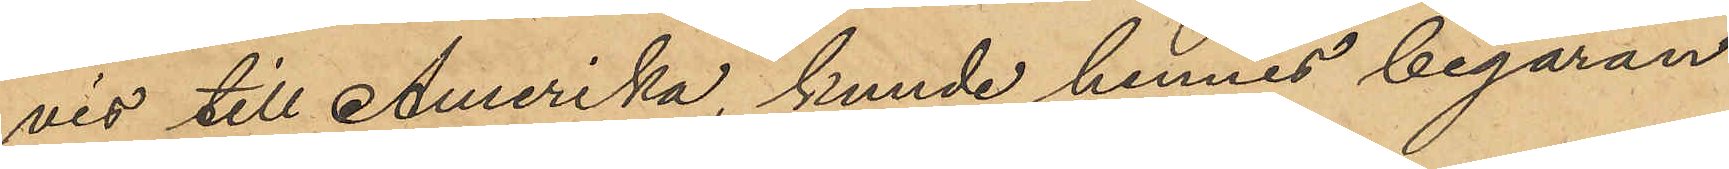vis till Amerika, kunde hennes begäran
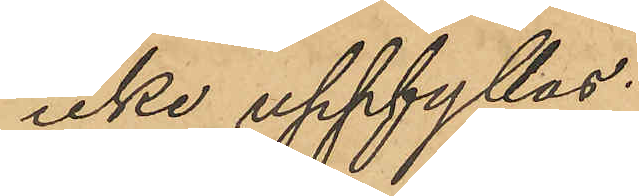icke uppfyllas.
